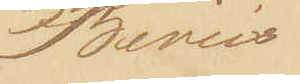Beviis
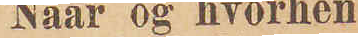Naar og hvorhen
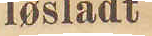løsladt
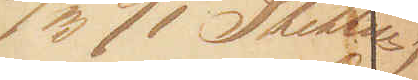3/3 91 Slettes;
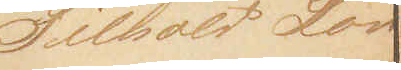Tilhold Lov
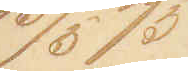15/5 75
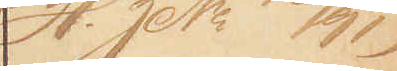(H. JoN 76/91)
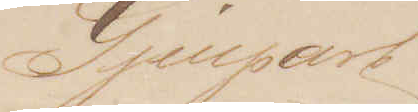Gjenpart
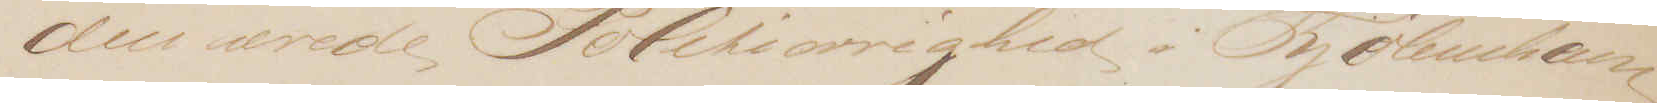den ærede Politiøvrighed i Kjøbenhavn
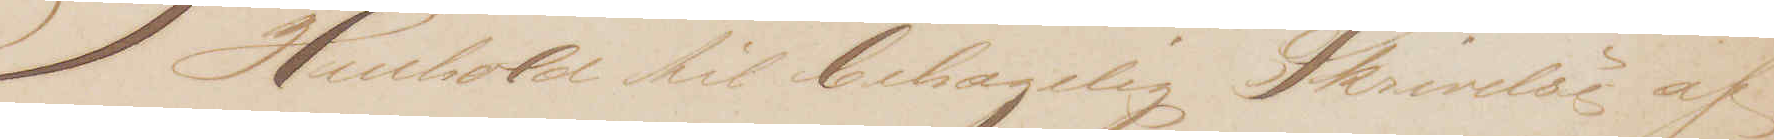I Henhold til behagelig Skrivelse af
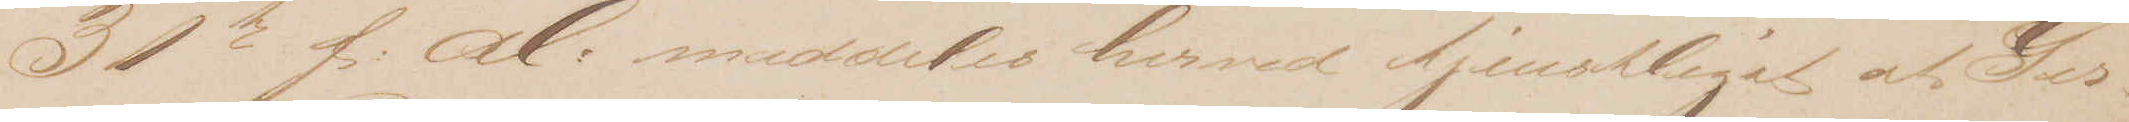31te f: M: meddeles herved tjenstligst af Ger¬
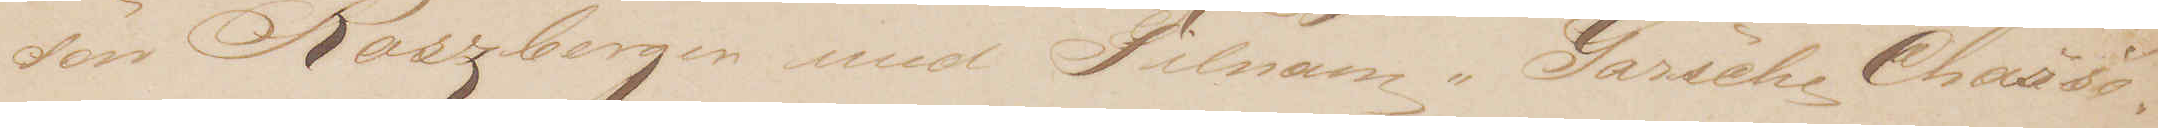son Roszberger med Tilnavn "Garsche Chassso¬
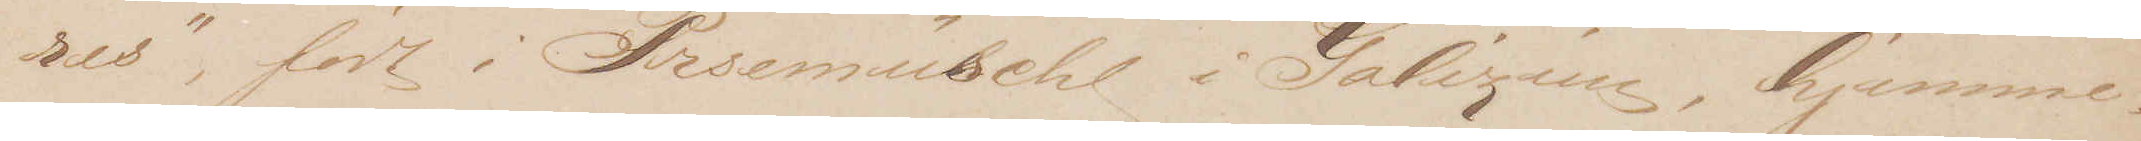res", født i Prsemüschl i Galizien, hjemme¬
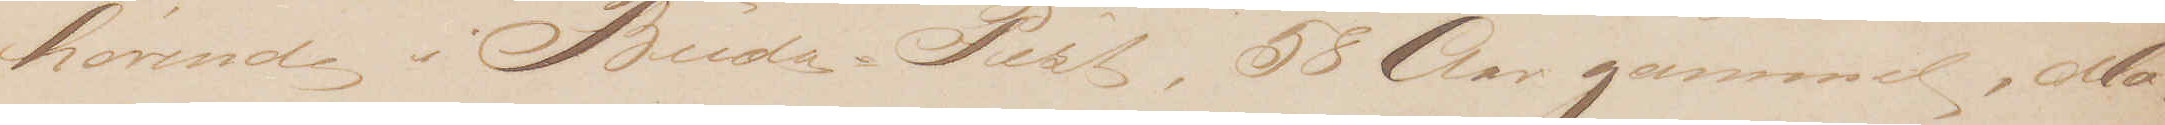 hørende i Buda-Pest, 58 Aar gammel, Mo¬
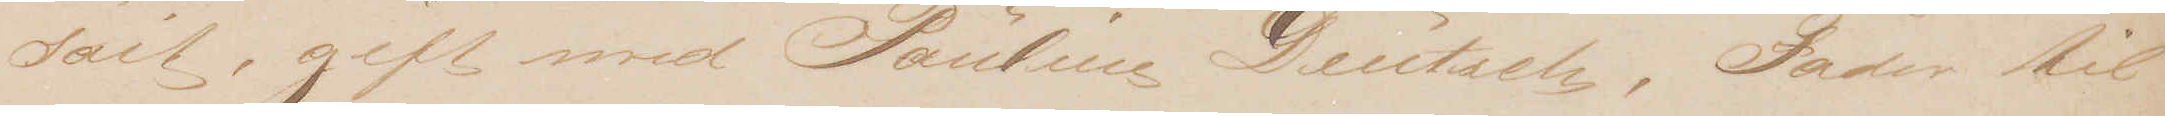sait, gift med Pauline Deutsch, Fader til
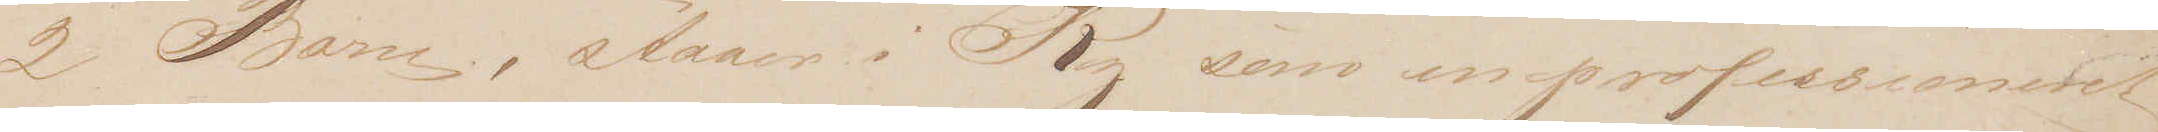2 Børn, staar i Ry som en professioneret,
